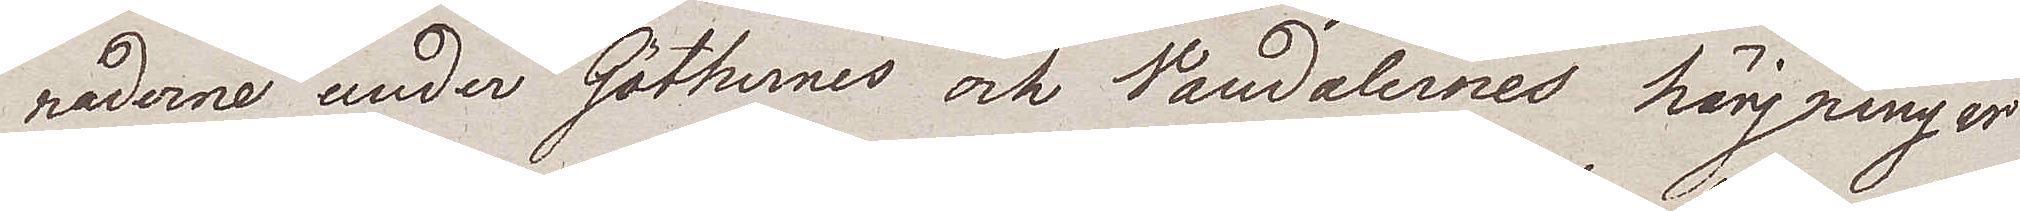naderna under Göthernes och Vandalernes härjninger
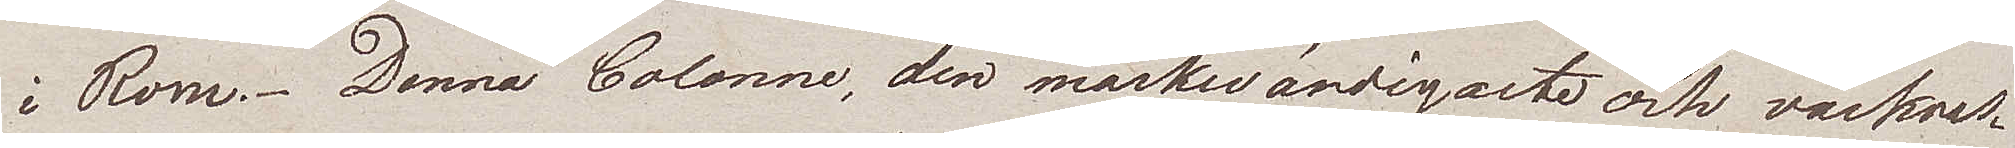i Rom. Denna Colonne, den märkwärdigaste och vackras¬
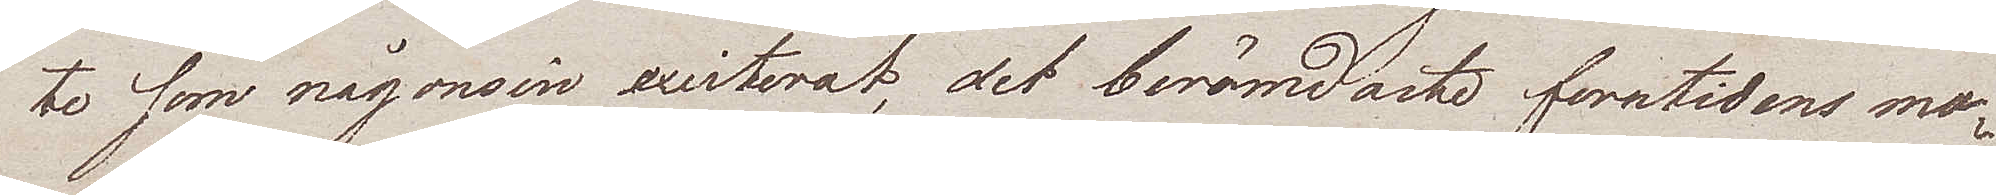te som någonsin existerat, det berömdaste forntidens mo¬
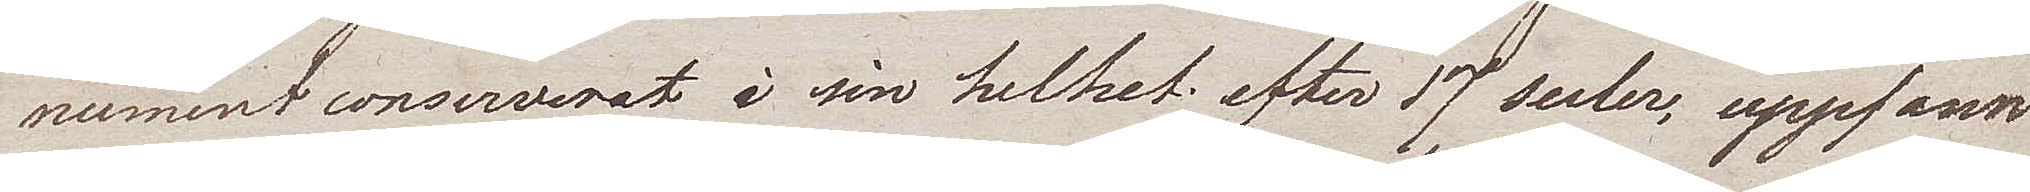nument conserverat i sin helhet efter 17 secler, uppfann
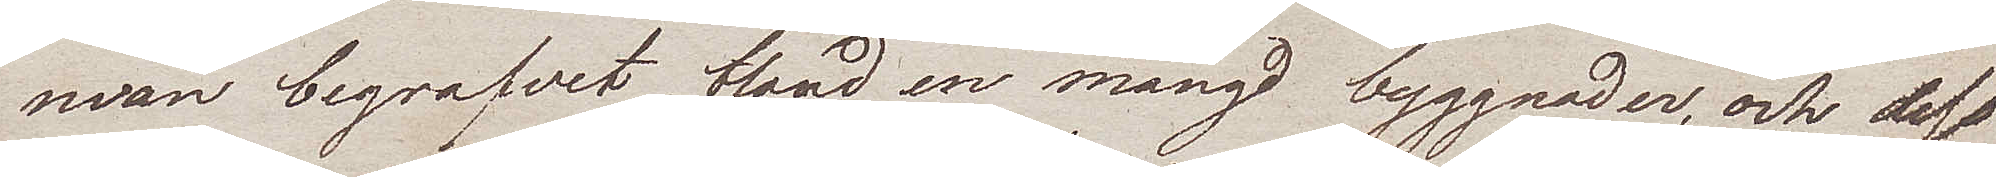man begrafvet bland en mängd byggnader, och dess
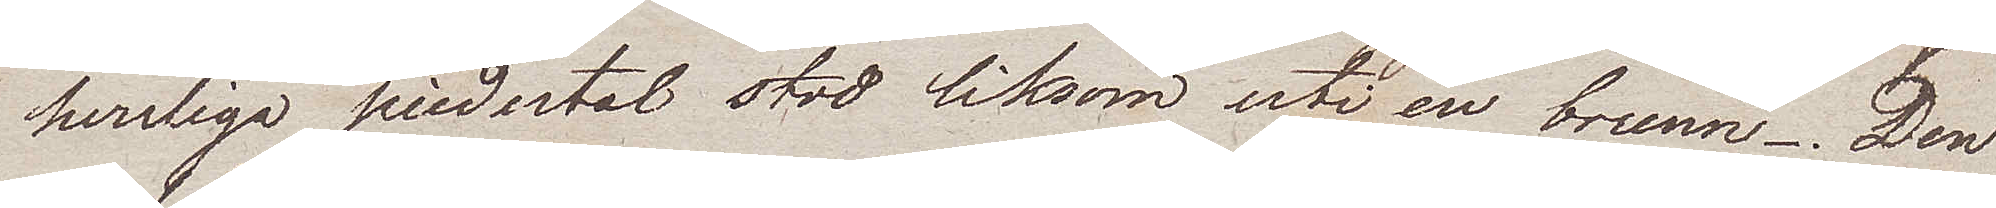herrliga piedestal stod liksom uti en brunn. Den
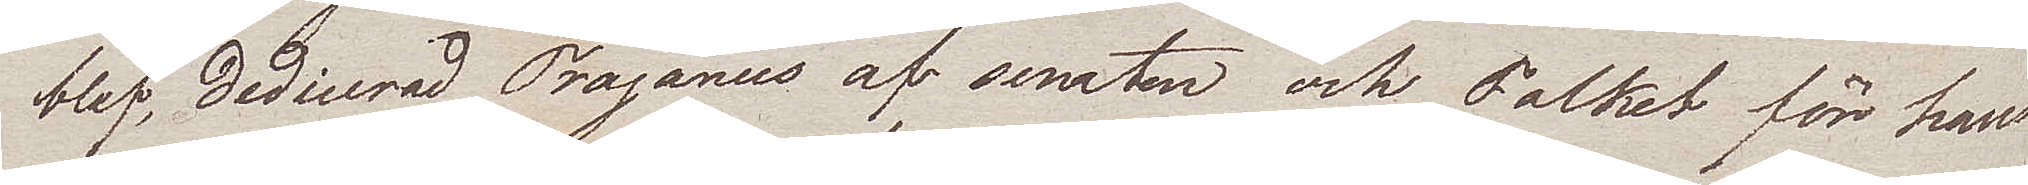blef, dedicerad Trajanues af senaten och Folket för hans
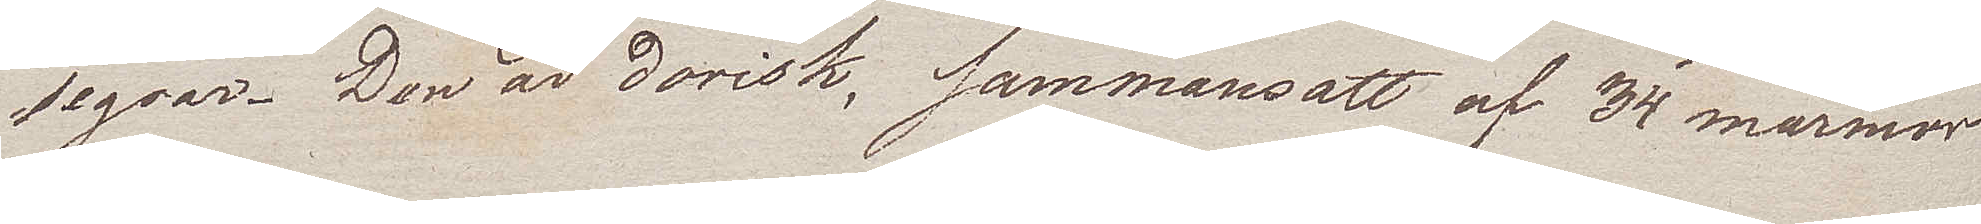segrar. Den är dorisk, sammansatt af 34 marmor
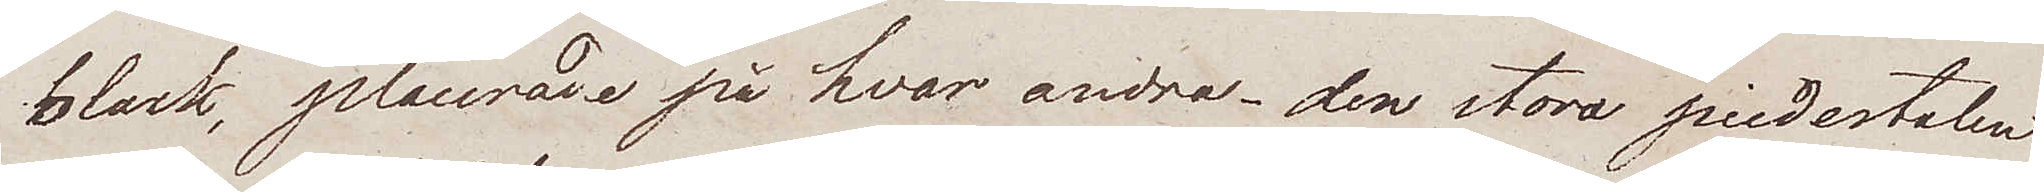block, placerade på hvar andra – den stora piedestalen
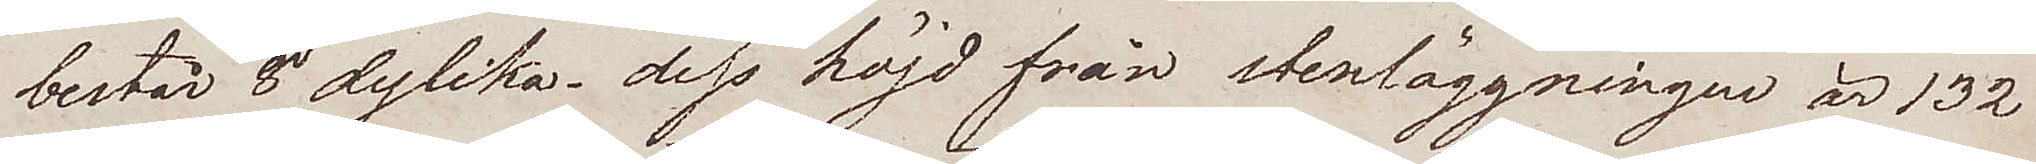består 8 dylika – dess höjd från stenläggningen är 132
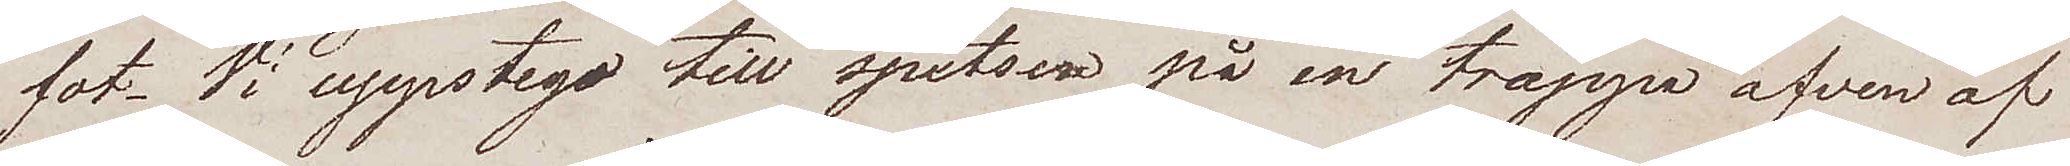fot. Vi uppstego till spetsen på en trappa äfven af
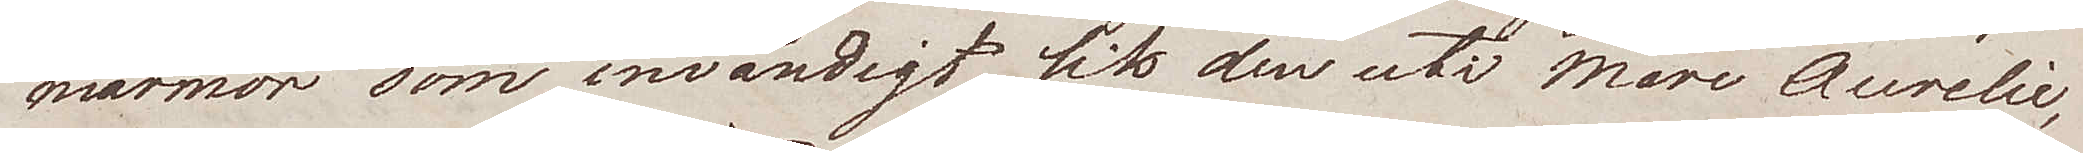marmor som invändigt lik den uti Marc Aurelie
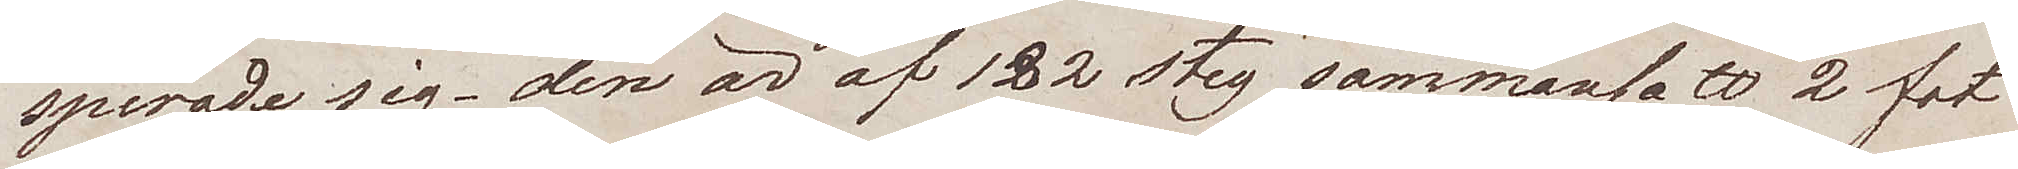spirade sig – den är af 182 steg sammansatt 2 fot
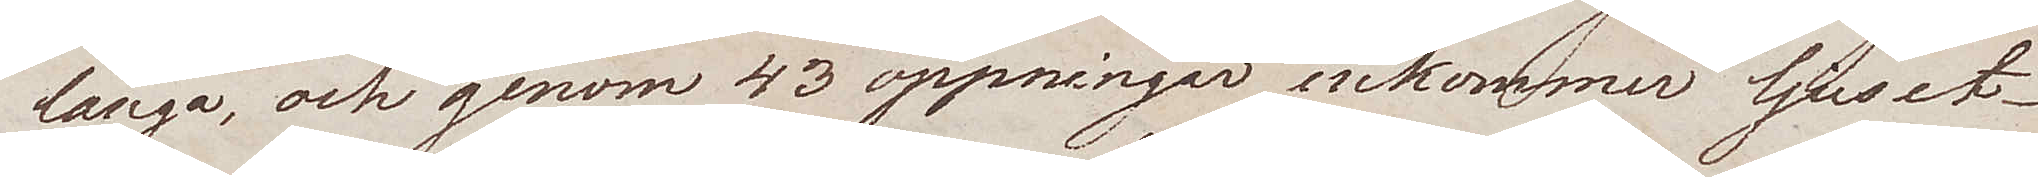långa, och genom 43 öppningar inkommer ljuset.
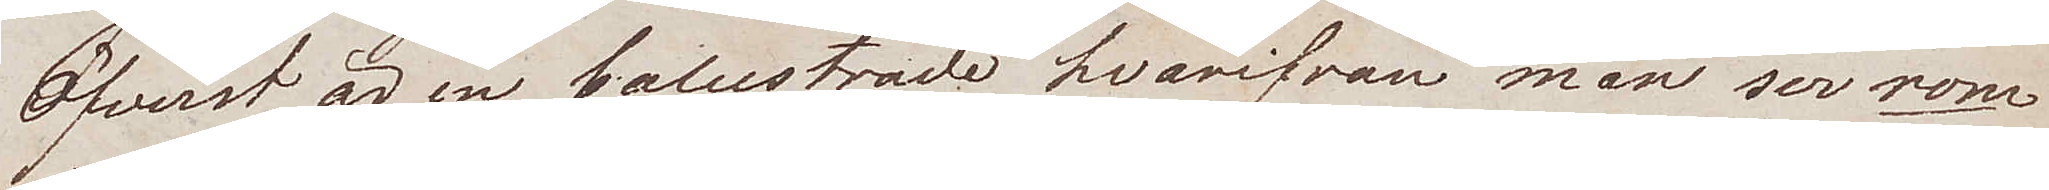Öfverst är en balustrade hvarifrån man ser rom
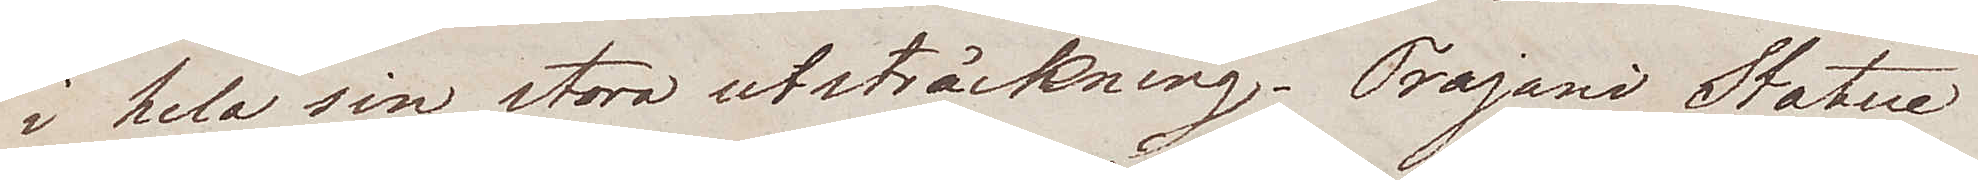i hela sin stora utsträckning. Trajani Statue
